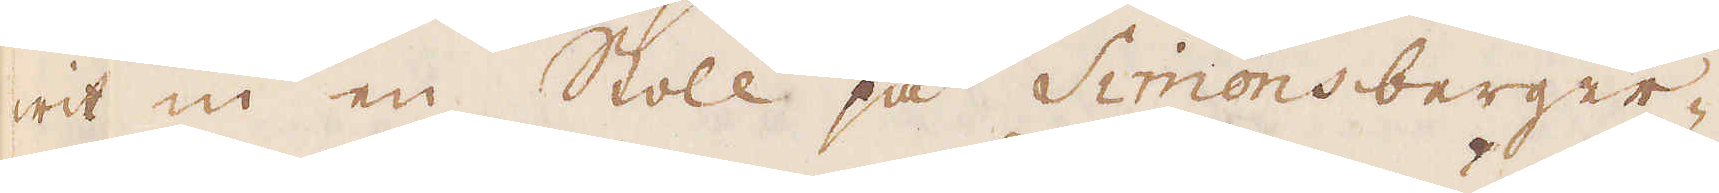wit in en Stoll på Simonsberger-
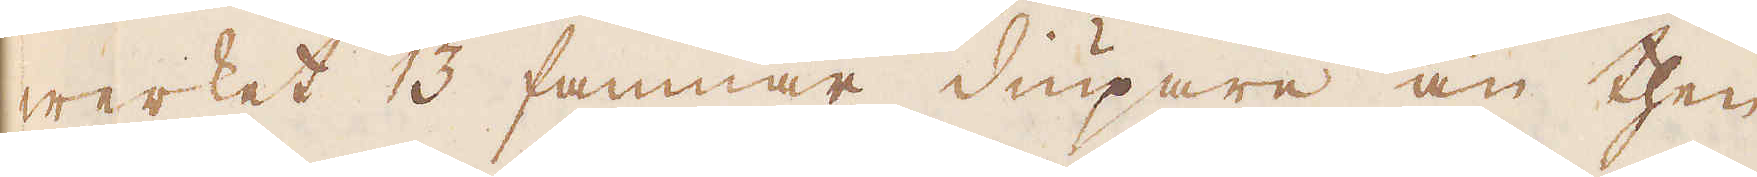werket 13 famnar diupare än then
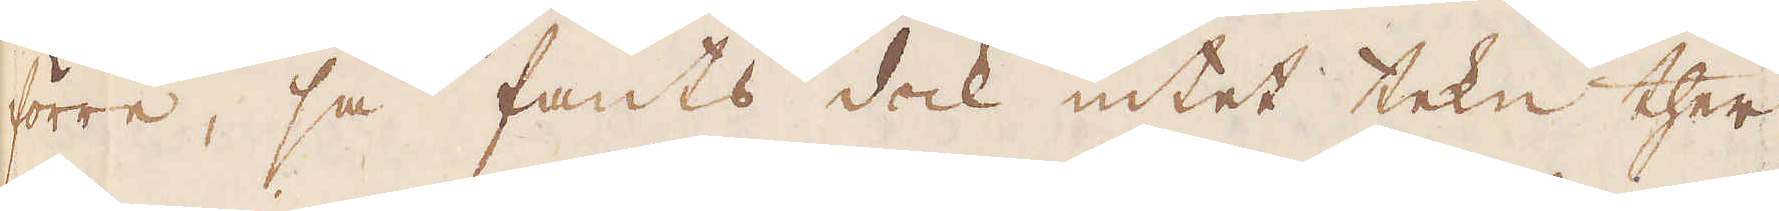förre, så fants dock intet tekn ther-
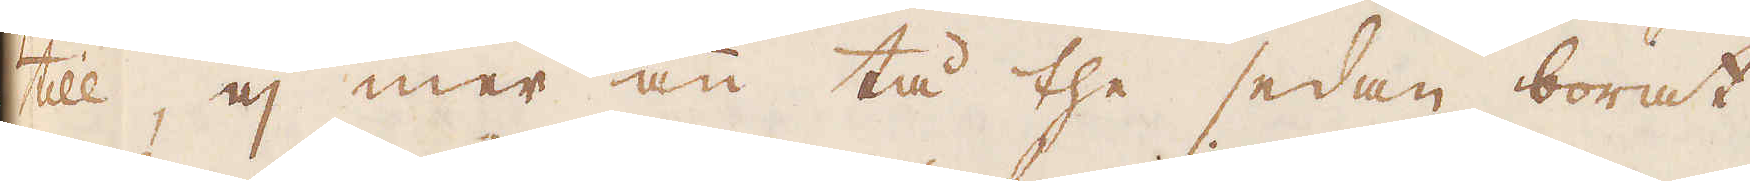till, ej mer än tå the sedan borat
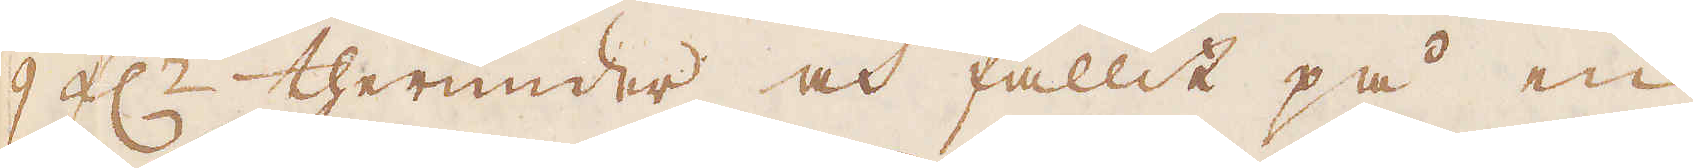9 f:r therunder och fallit på en
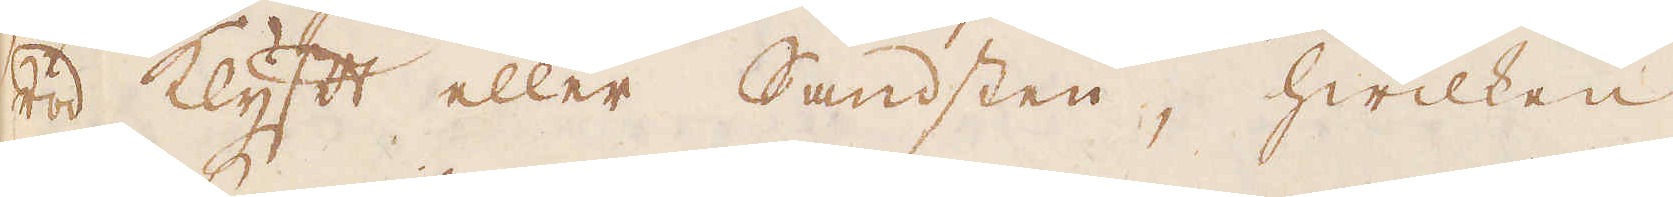röd klyft eller Sandsten, hwilken
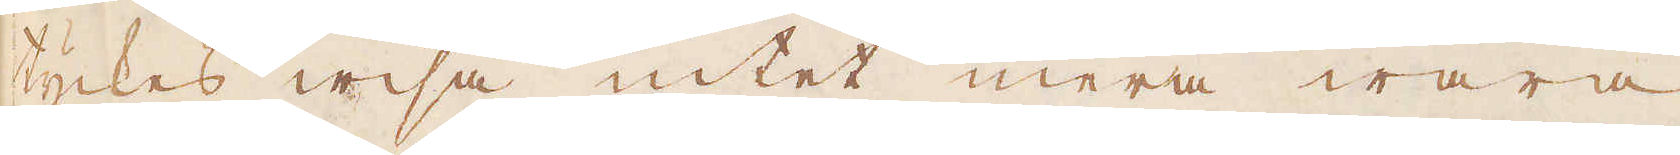tyckes wisa intet mera wara
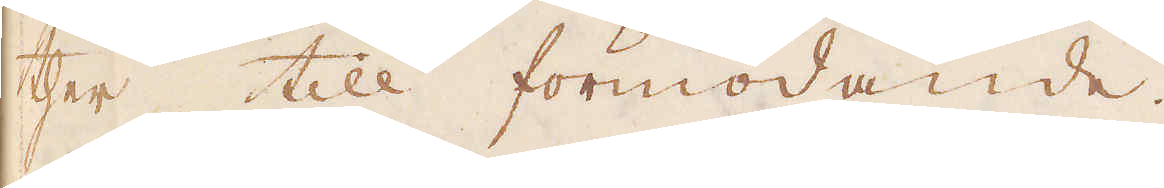ther till förmodande.
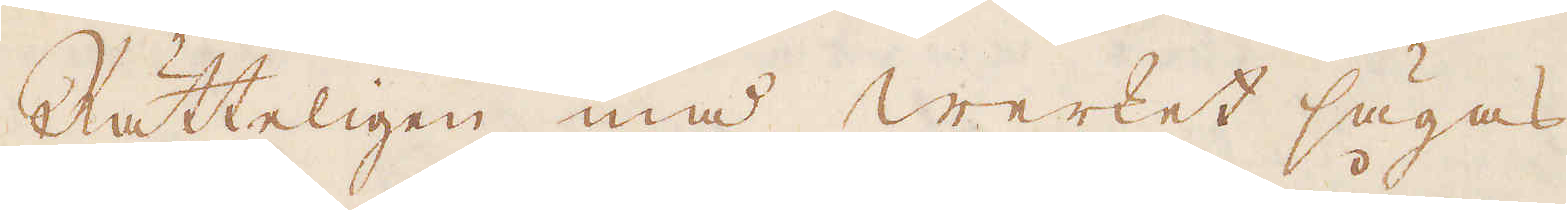Rätteligen må werket sägas
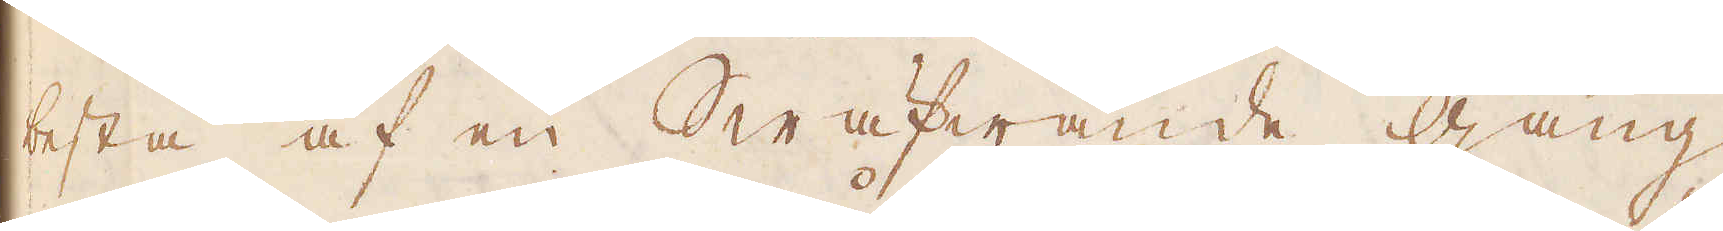bestå af en Swäfwande gång,
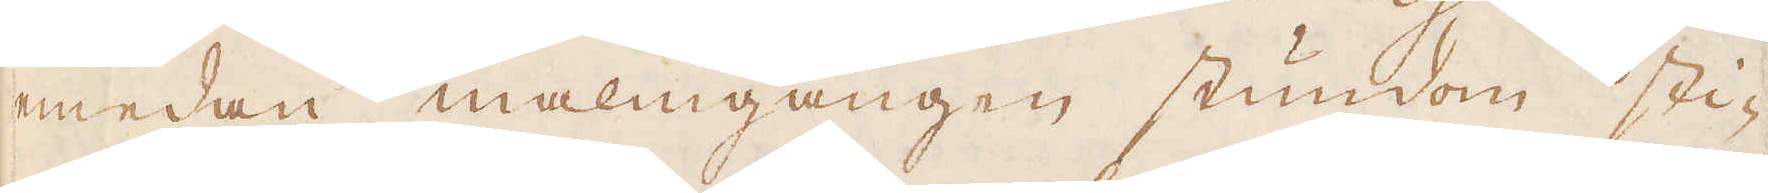emedan malmgången stundom sti-
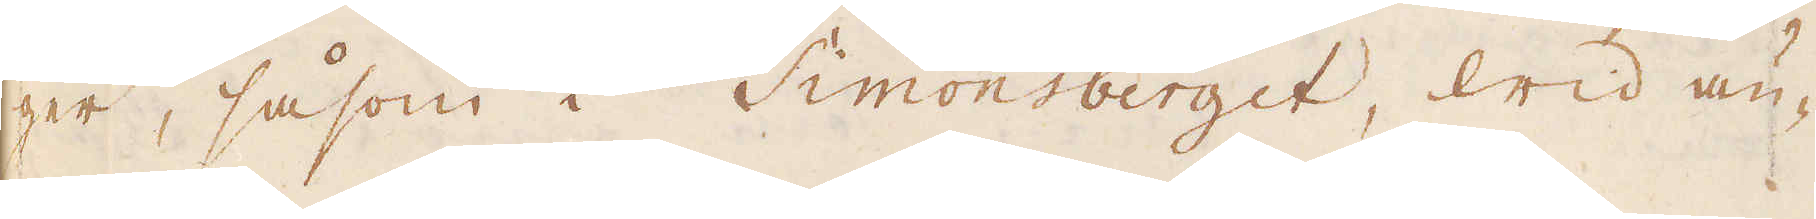ger, såsom i Simonsberget, wid än-
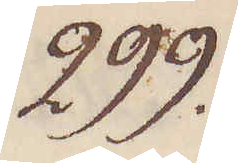299.
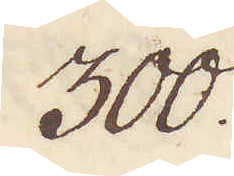300.
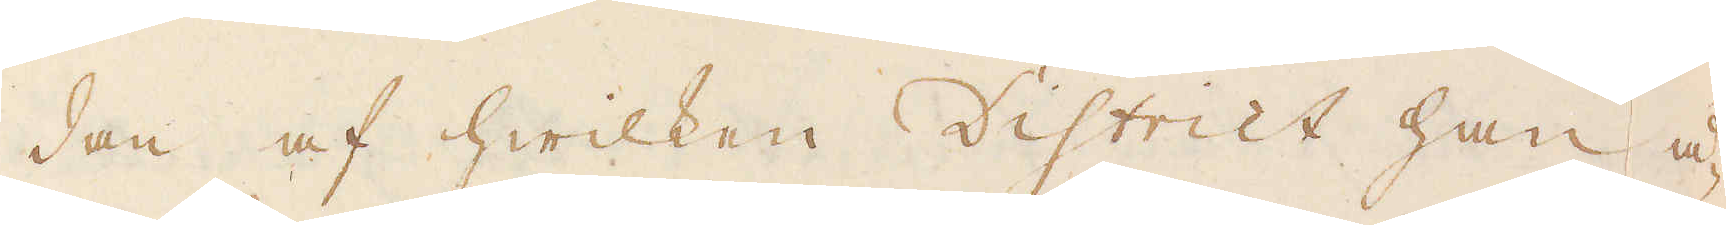dan af hwilken District han å-
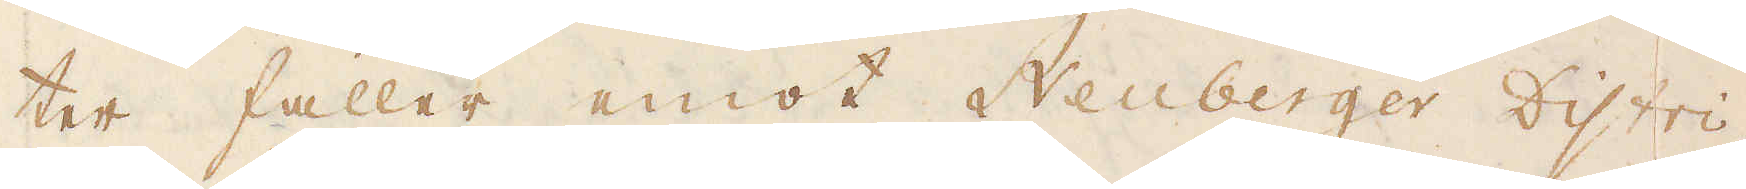ter faller emot Neuberger Distri-
